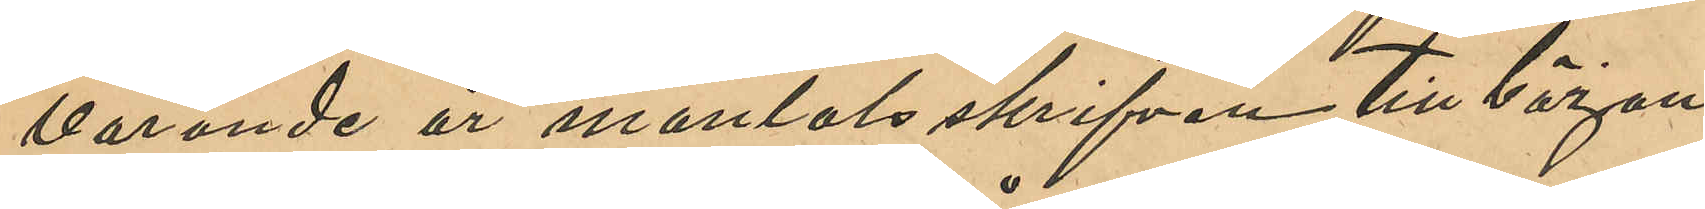varande år mantalsskrifven, till början
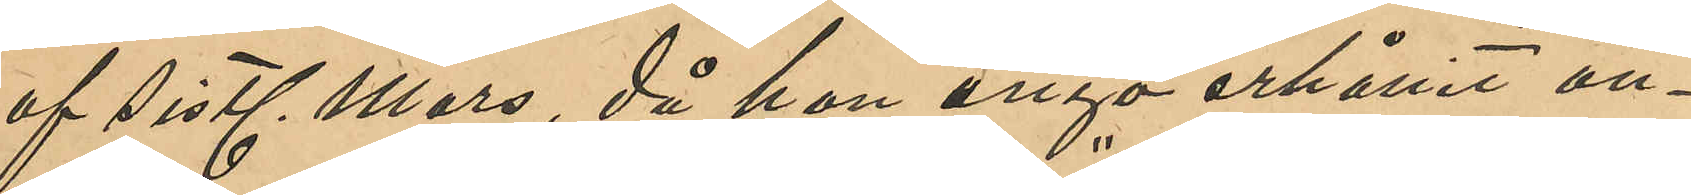af sistl Mars, då hon ånyo erhållit an¬
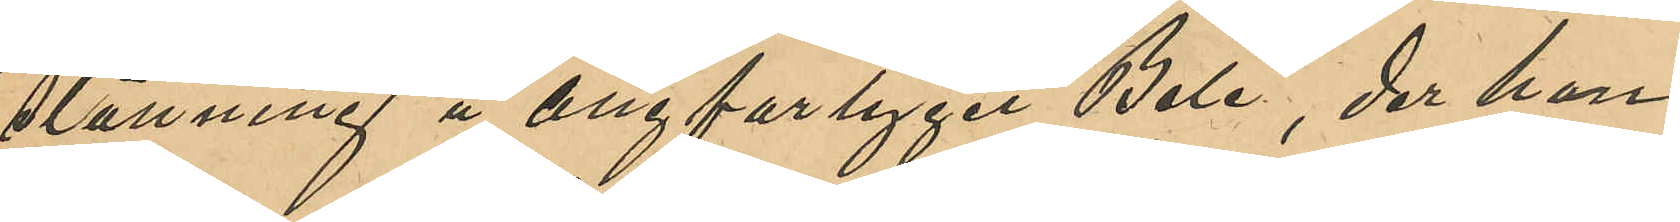ställning å Ångfartyget "Bele", der hon
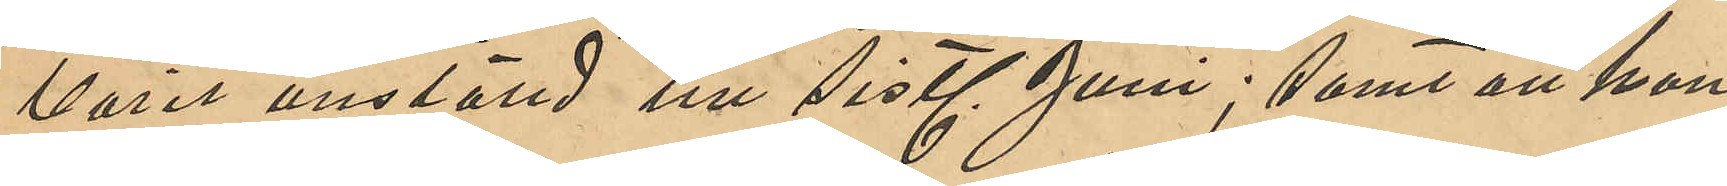varit anstäld till sistl Juni; samt att hon
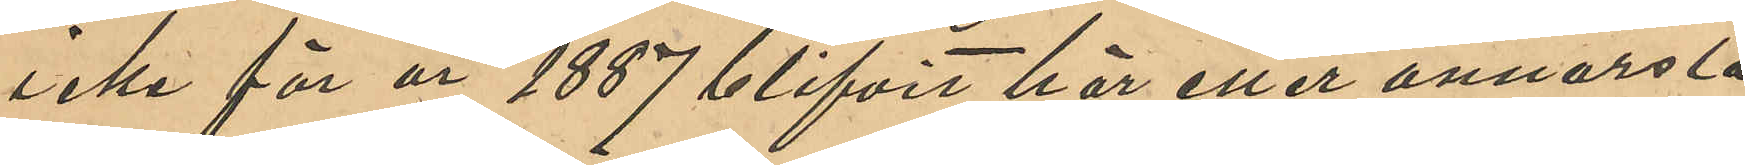icke för år 1887 blifvit här eller annorstä¬
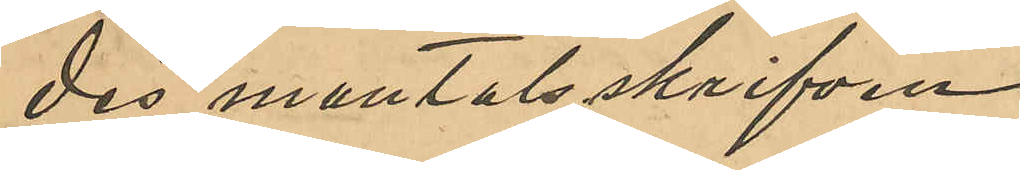des mantalsskrifven.
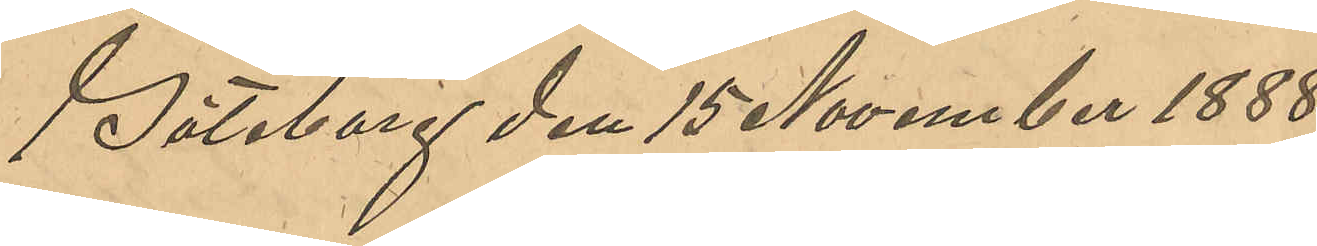Göteborg den 15 Noember 1888.
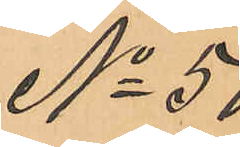No 50
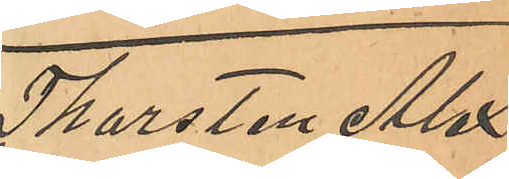Thorsten Alex¬
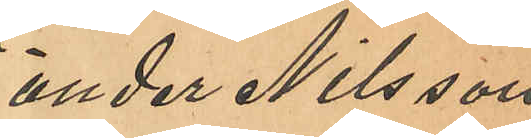ander Nilsson
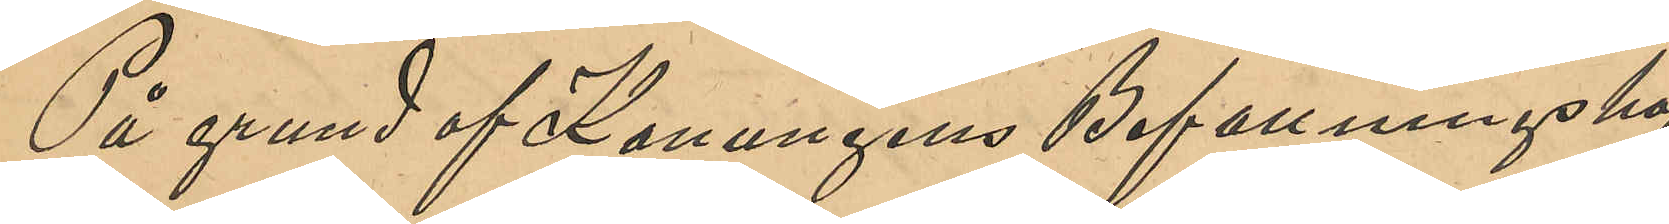På grund af Konungens Befallningshaf¬
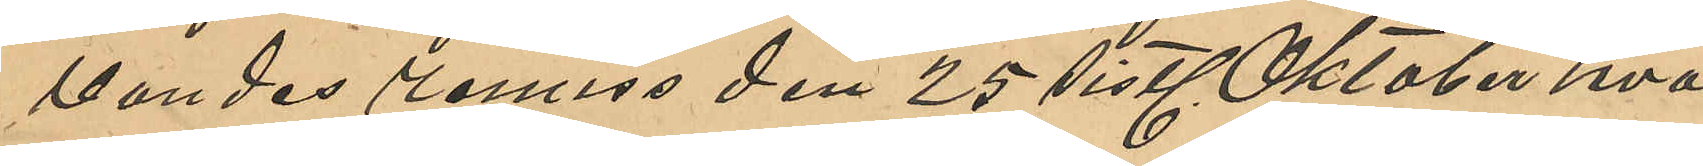vandes remiss den 25 sistl Oktober hva¬
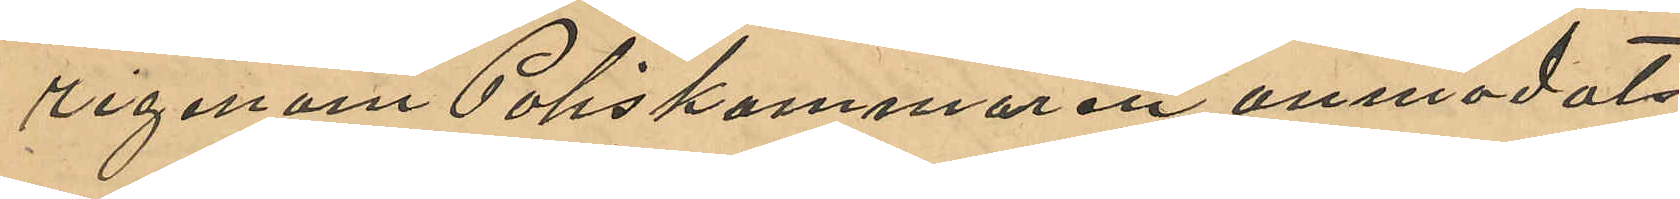rigenom Poliskammaren anmodats
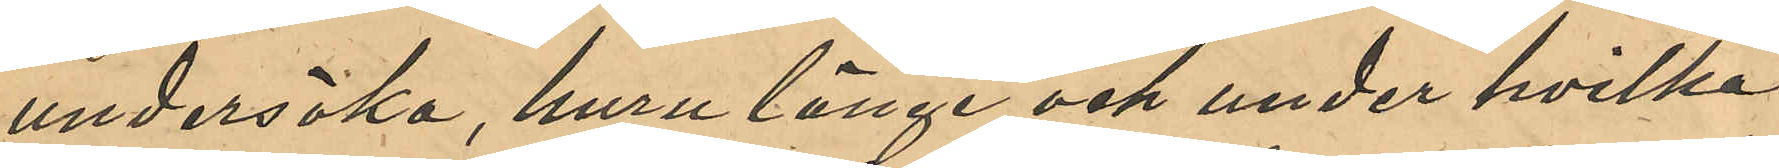undersöka, huru länge och under hvilka
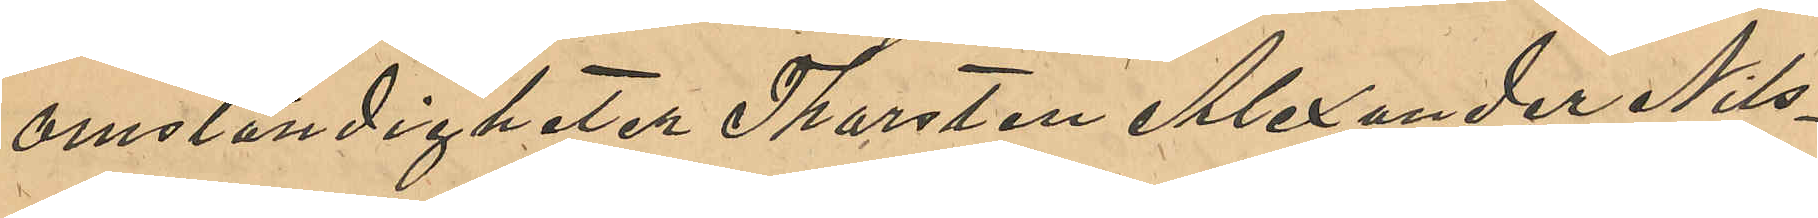omständigheter Thorsten Alexander Nils¬
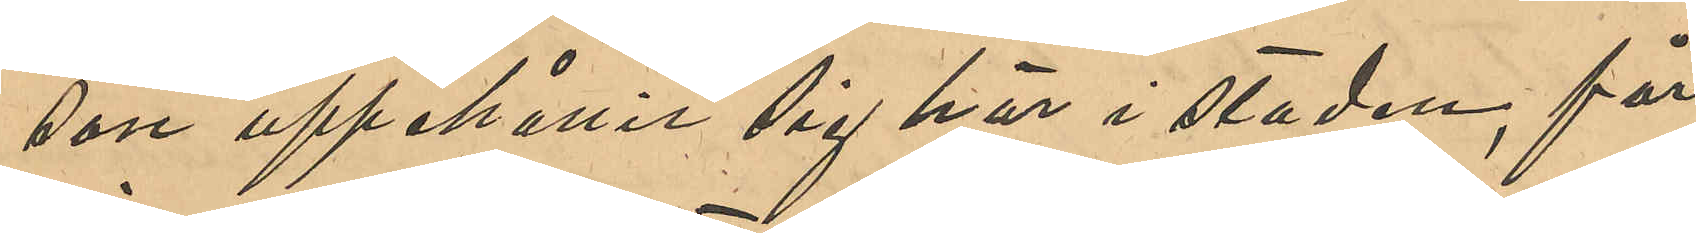son uppehållit sig här i staden, får
